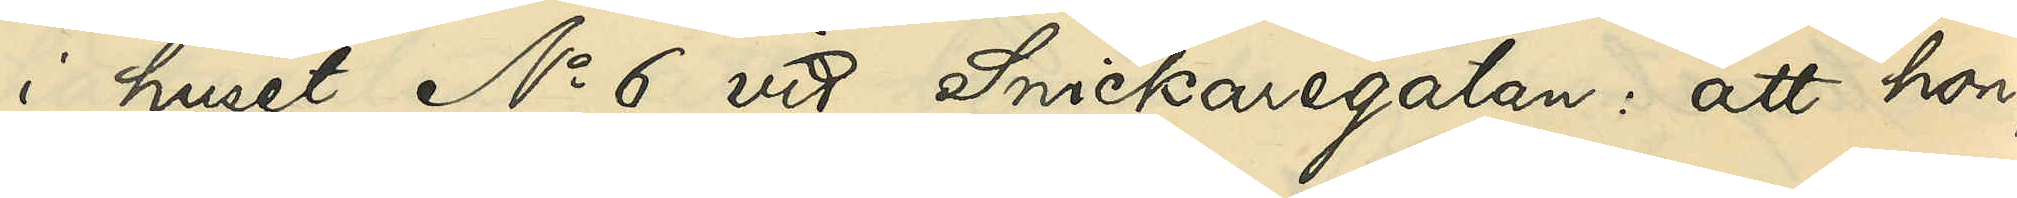i huset No 6 vid Snickaregatan: att hon,
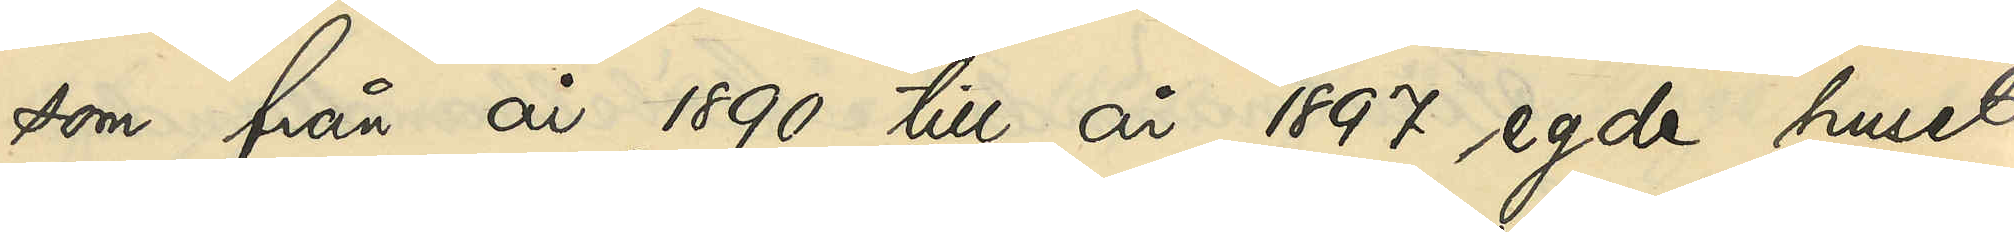som från år 1890 till år 1897 egde huset
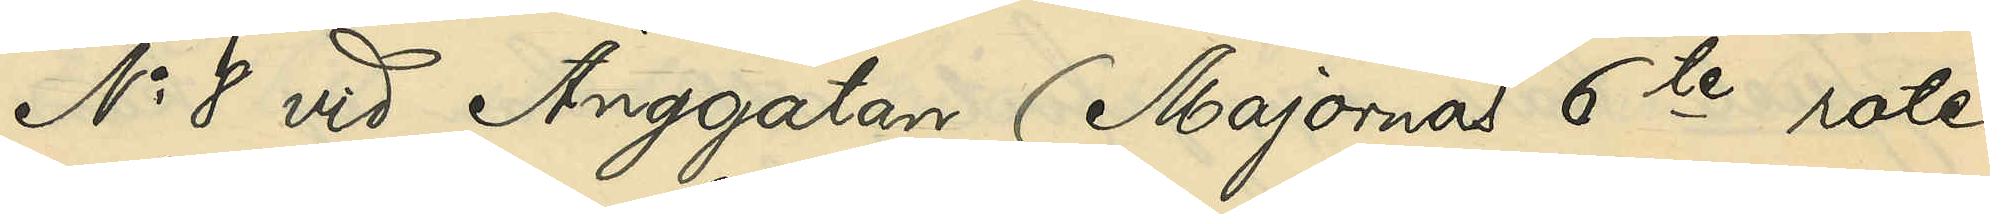No 91 vid Änggatan (Majornas 5te rote
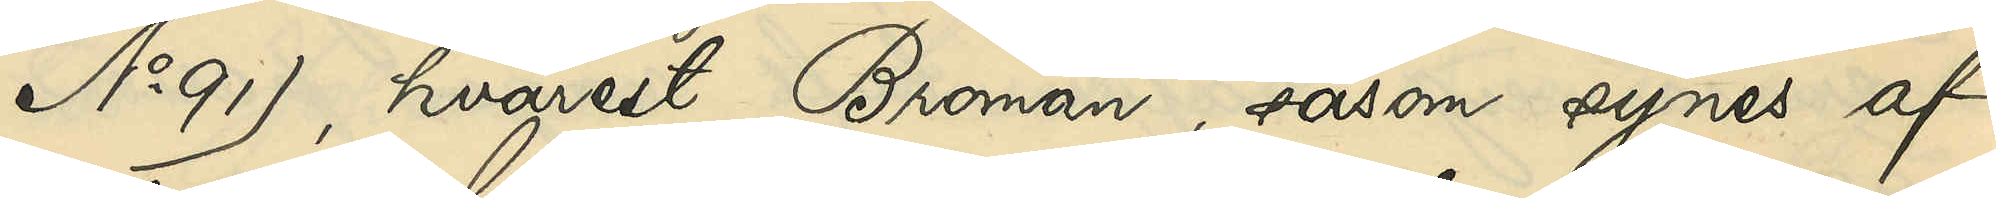No 91), hvarest Broman, såsom synes af
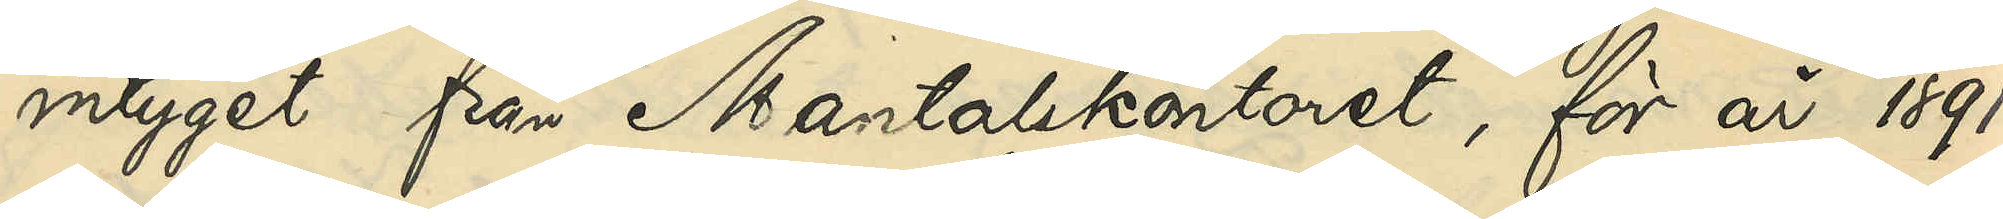intyget från Mantalskontoret, för år 1891
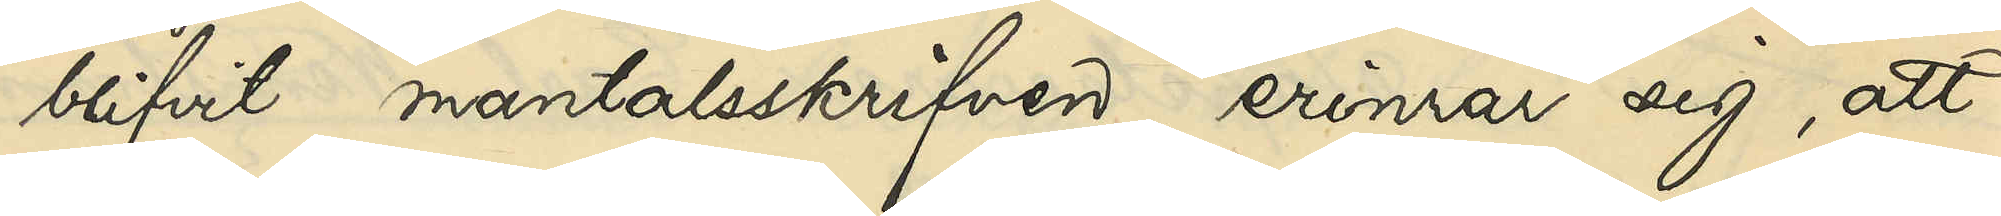blifvit mantalsskrifven, erinrar sig, att
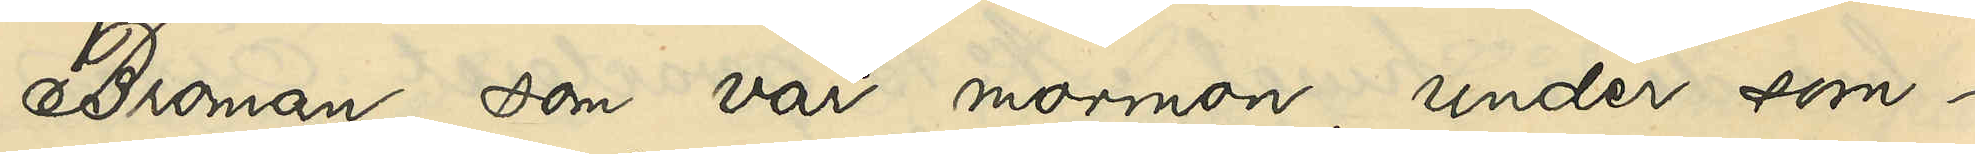Broman, som var mormon, under som¬
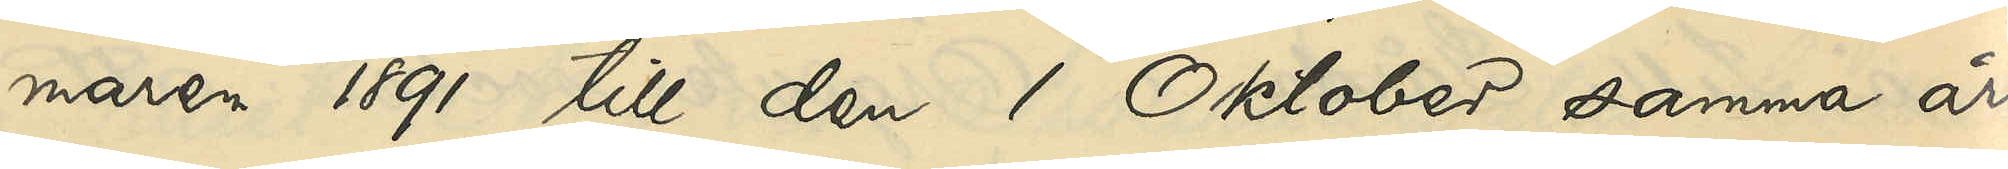maren 1891 till den 1 Oktober samma år
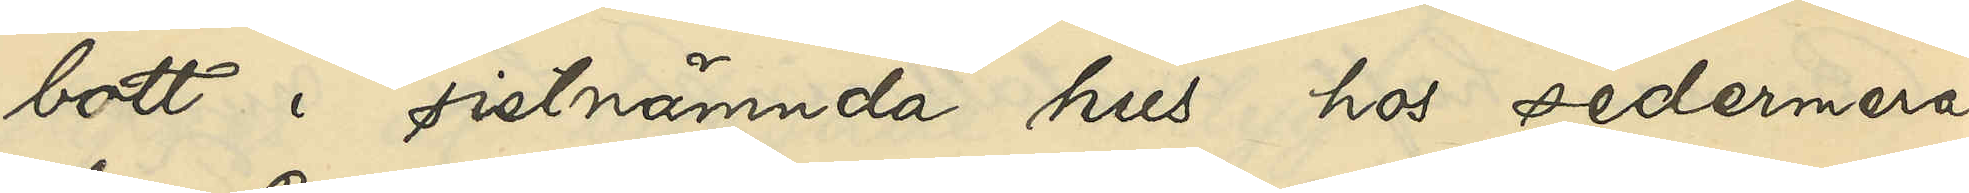bott i sistnämnda hus hos sedermera
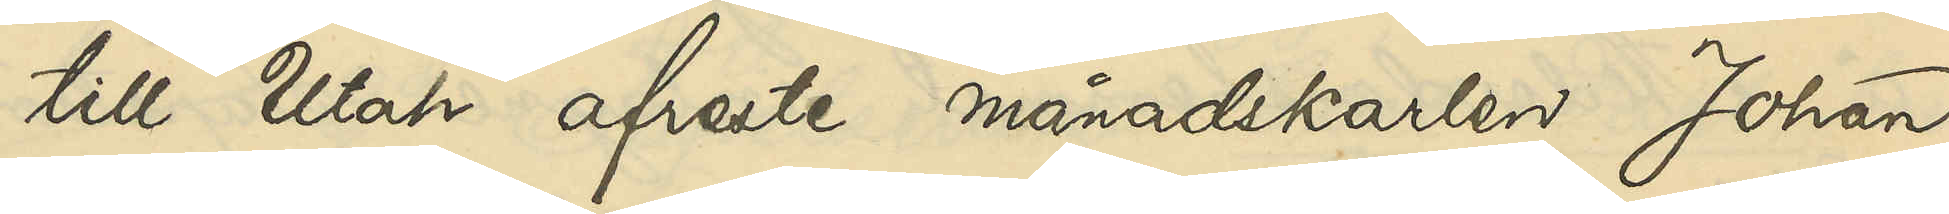till Utah afreste månadskarlen Johan
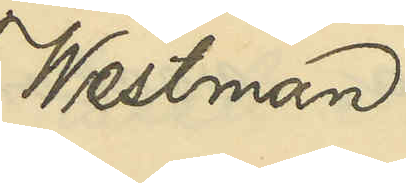Westman
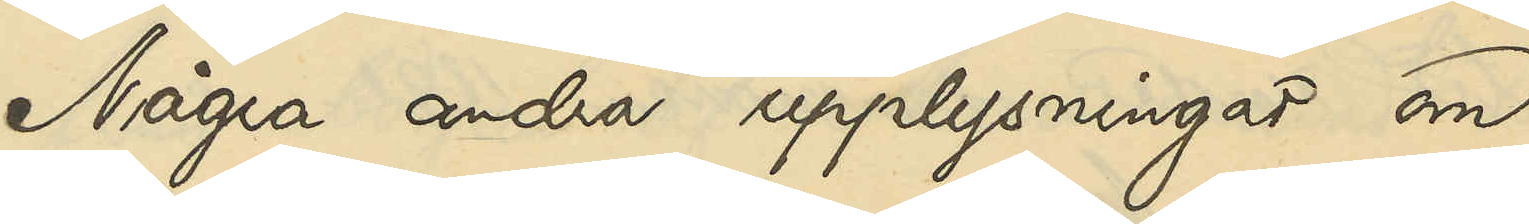Några andra upplysningar om
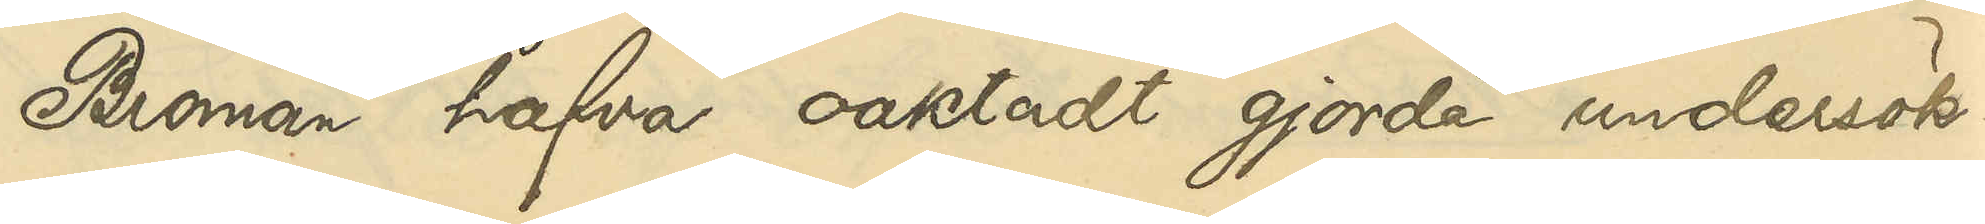Broman hafva oaktadt gjorda undersök¬
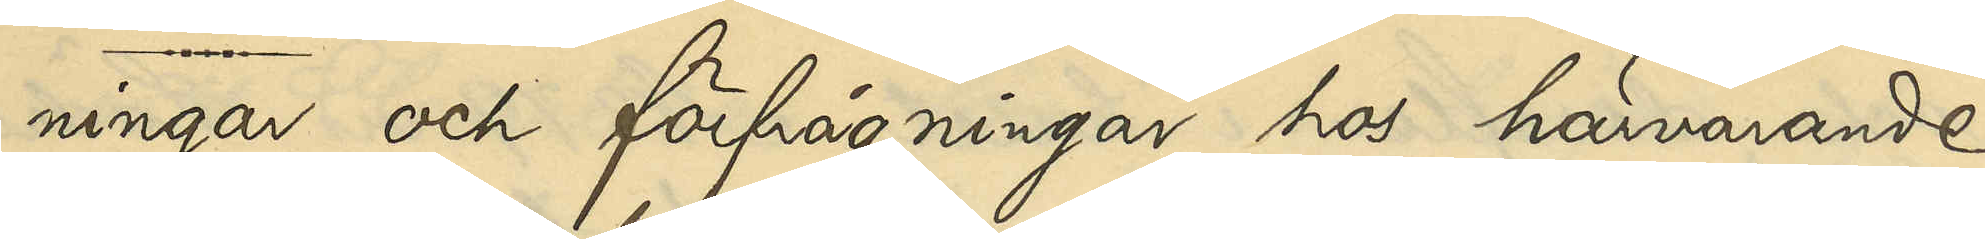ningar och förfrågningar hos härvarande
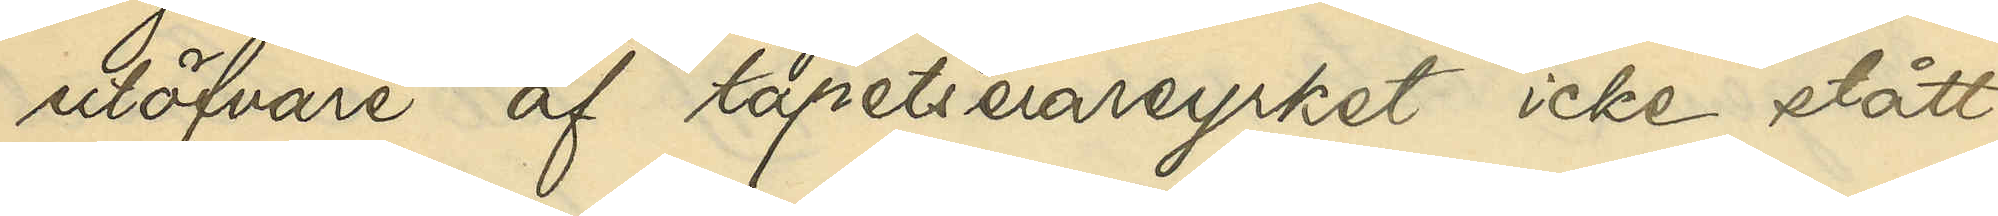utöfvare af tapetserareyrket icke stått
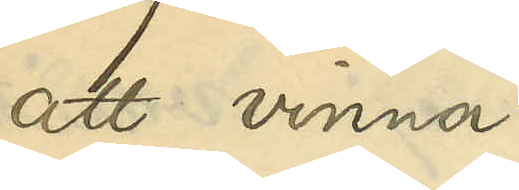att vinna
